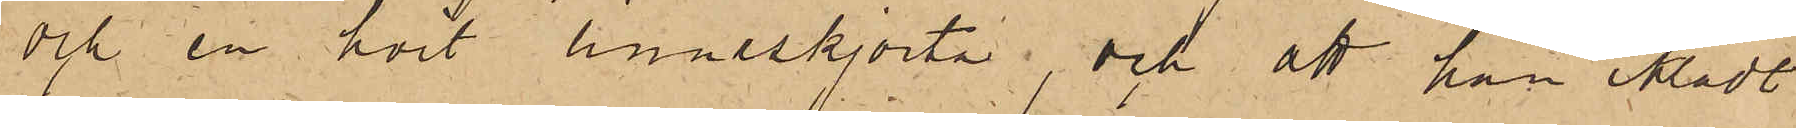och en hvit linneskjorta, och att han iklädt
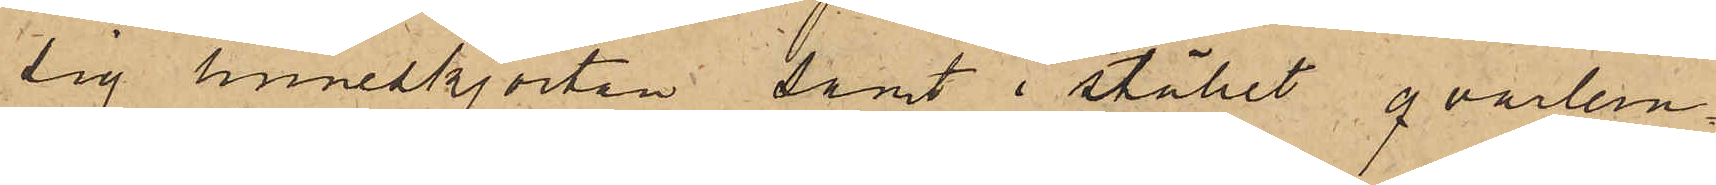sig linneskjortan samt i stället qvarlem¬
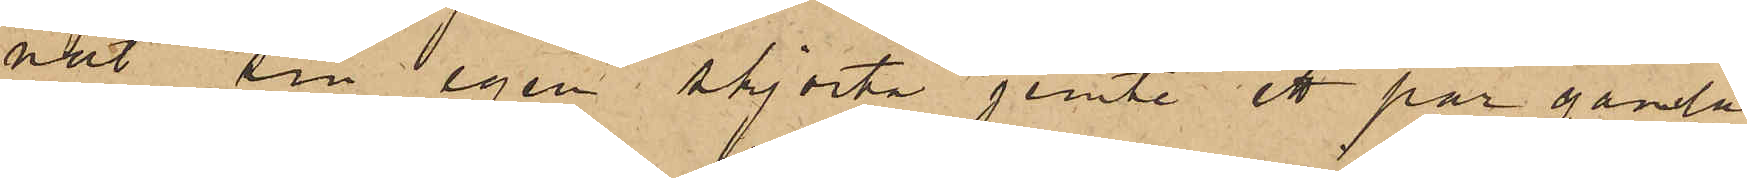nat sin egen skjorta jemte ett par gamla
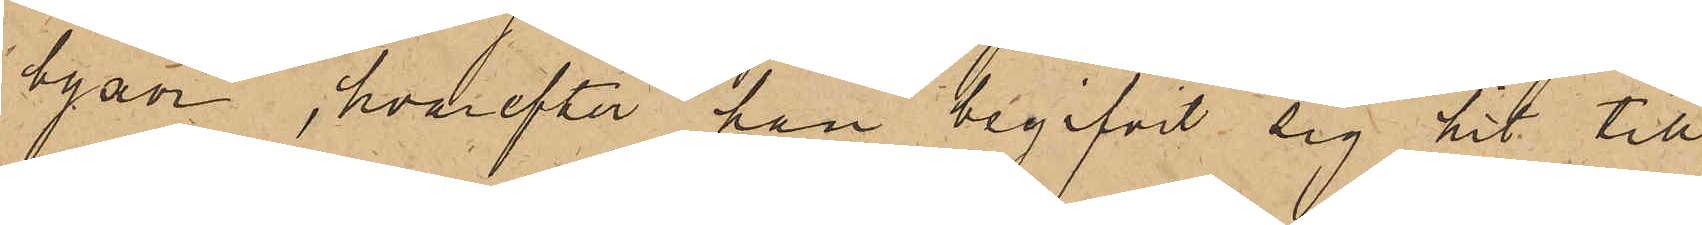byxor, hvarefter han begifvit sig hit till
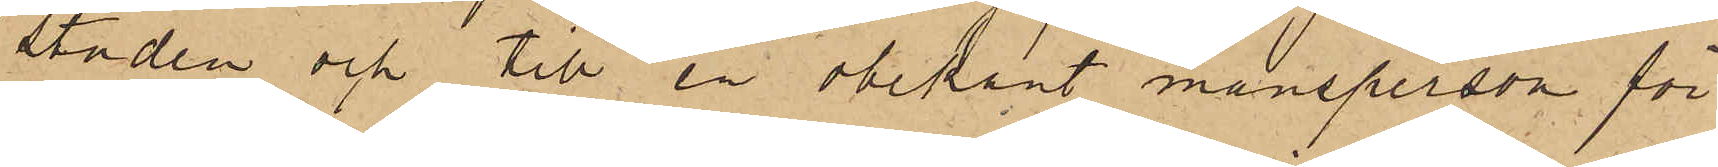staden och till en obekant mansperson för
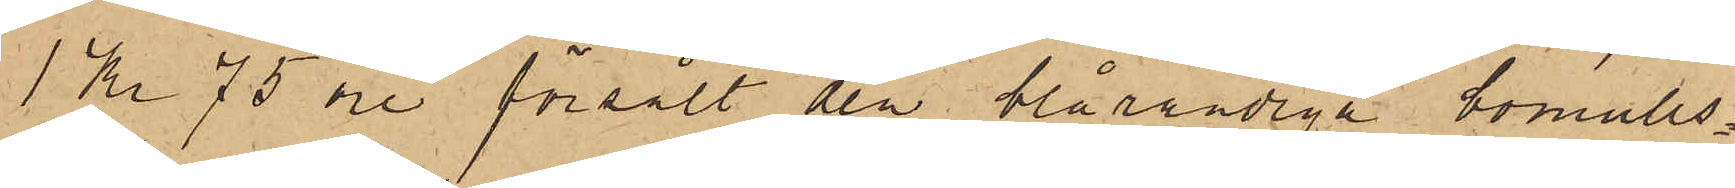1 Kr 75 öre försålt den blårandiga bomulls¬
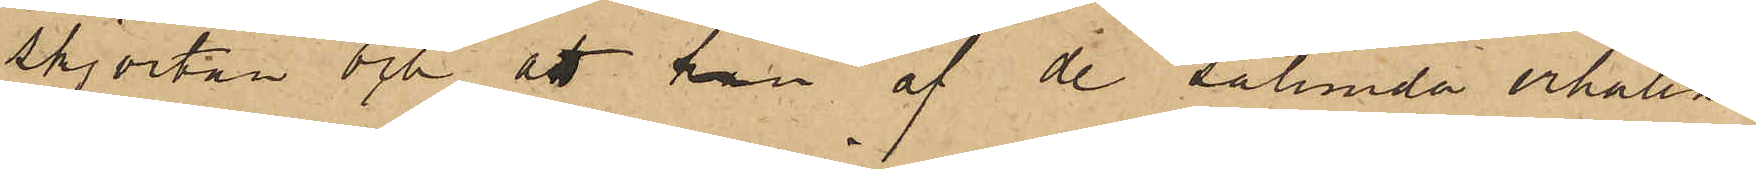skjortan och att han af de sålunda erhållne
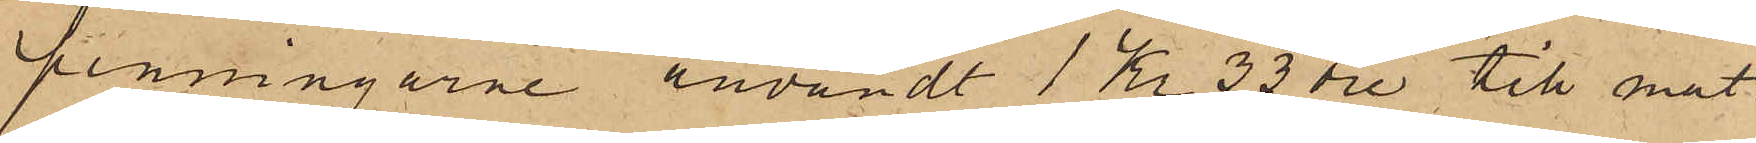penningarne användt 1 Kr 33 öre till mat.
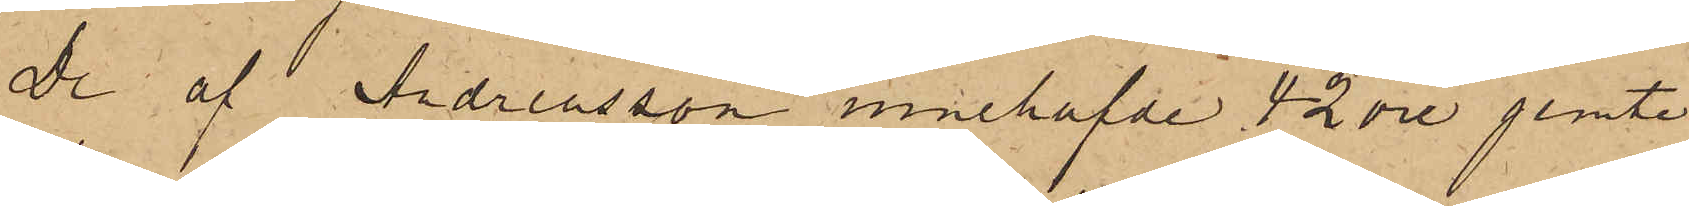De af Andreasson innehafvde 42 öre jemte
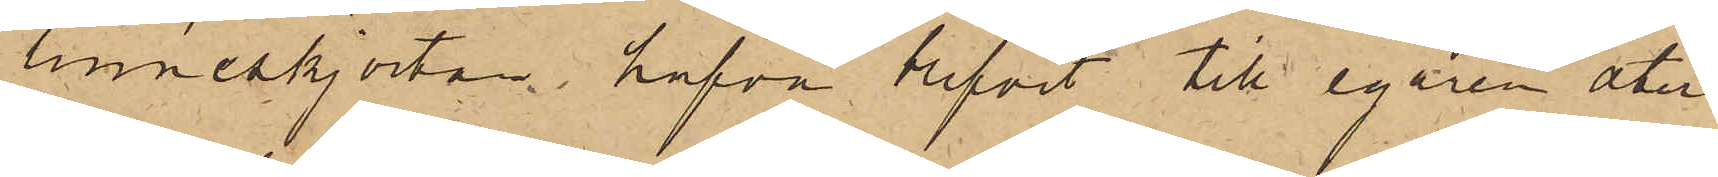linneskjortan hafva blifvit till egaren åter¬
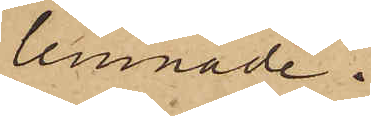lemnade.
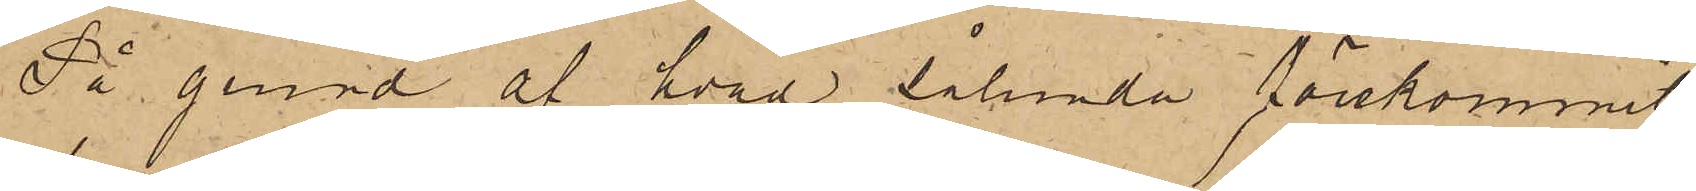På grund af hvad sålunda förekommit
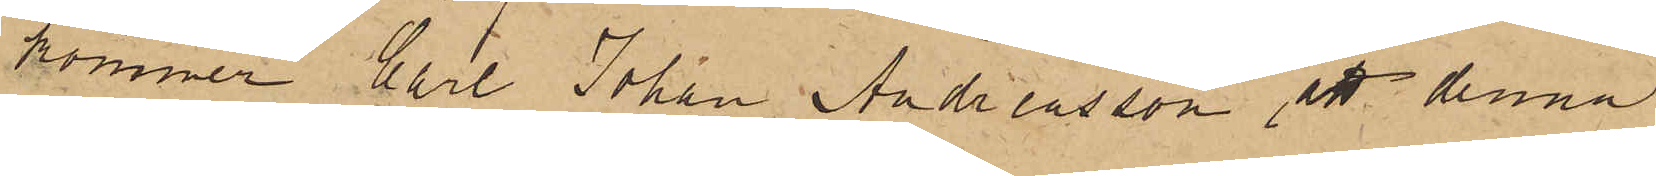kommer Carl Johan Andreasson att denna
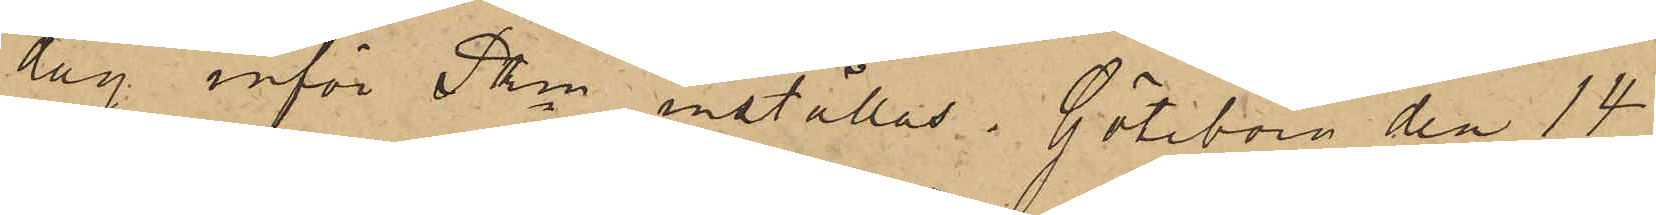dag inför Pkn inställas. Göteborg den 14
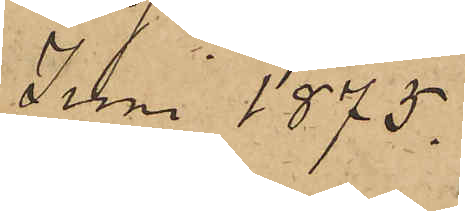Juni 1875.
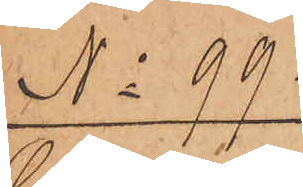No 99.
